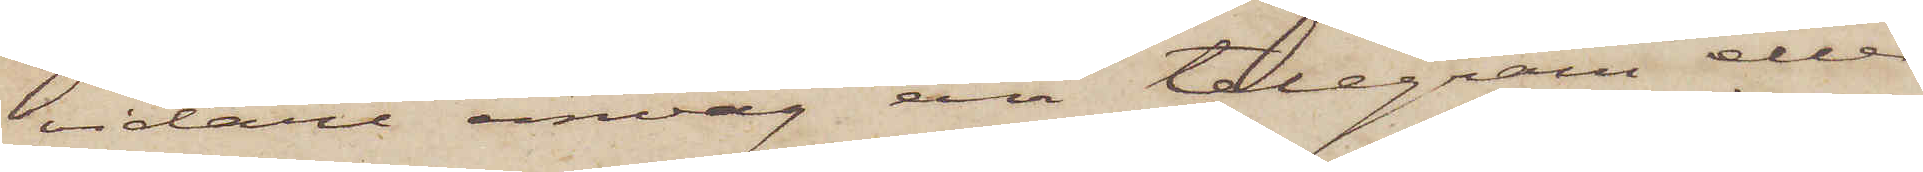vidare omväg än telegram eller
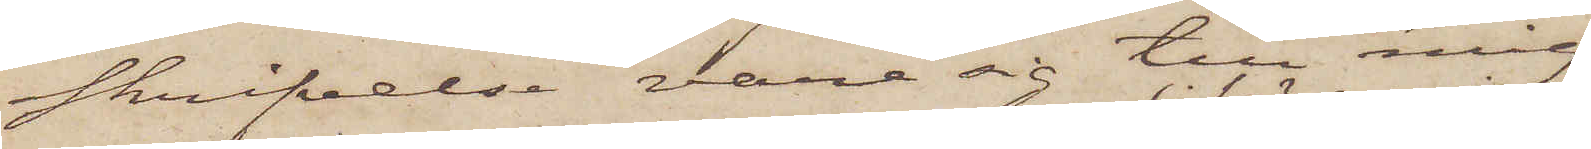skrifvelse vare sig till mig
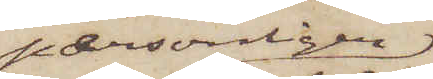personligen
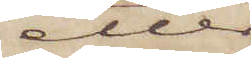eller
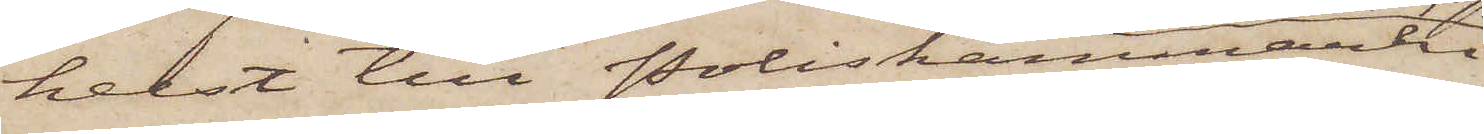helst till Poliskammaren
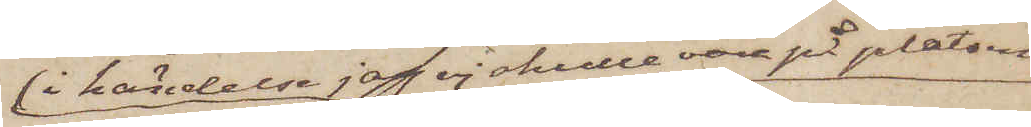i händelse jag ej skulle vara på platsen
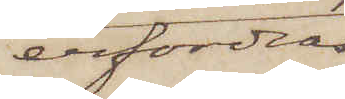erfordras
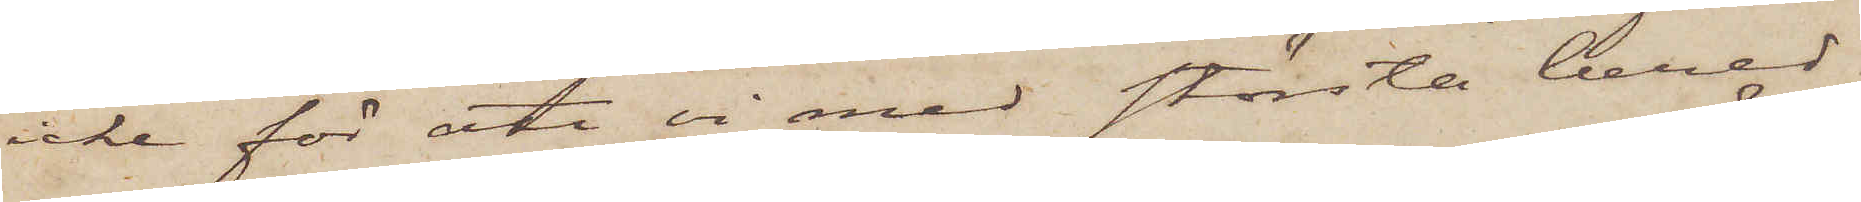icke för att vi med största bered¬
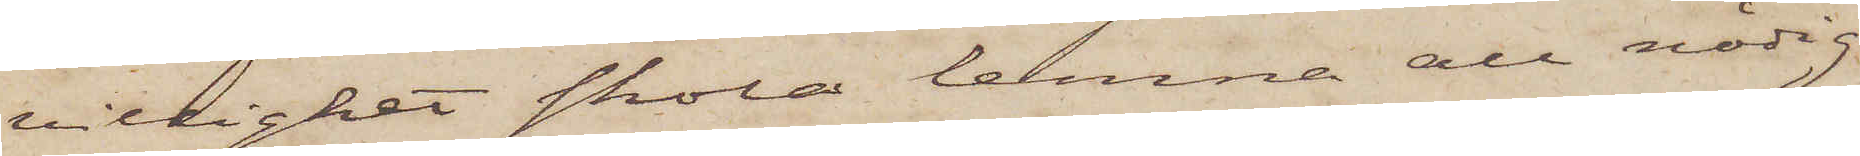villighet skola lemna all nödig
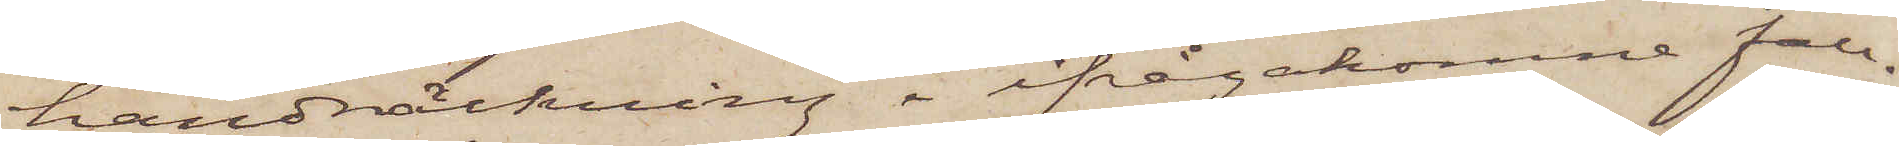handräckning i ifrågakomne fall.
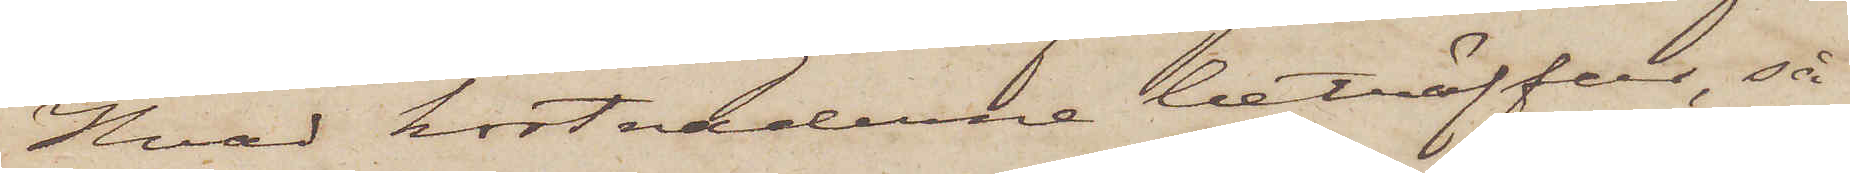Hvad kostnaderne beträffar, så
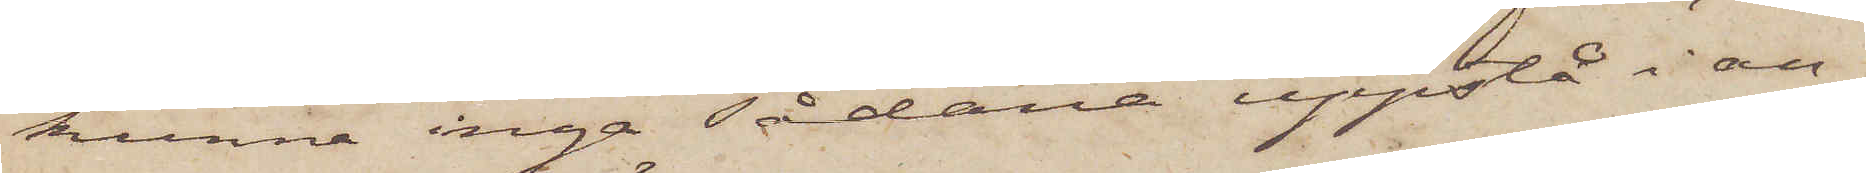kunna inga sådana uppstå i an¬
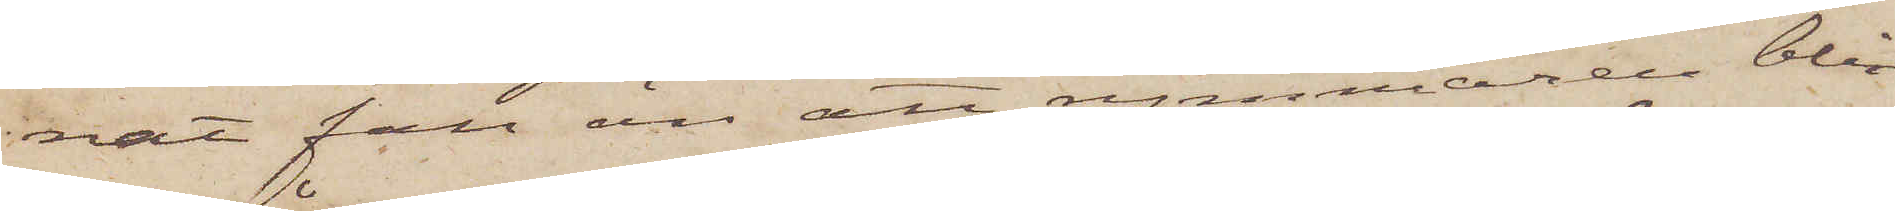nat fall än att rymmaren blir
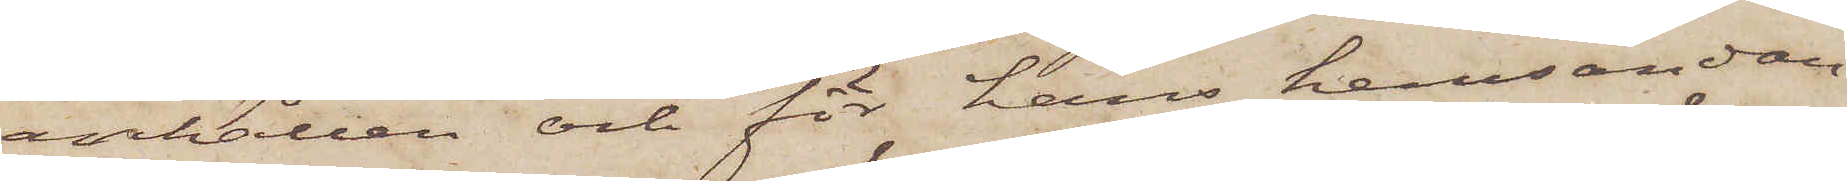anhållen och för hans hemsändan¬
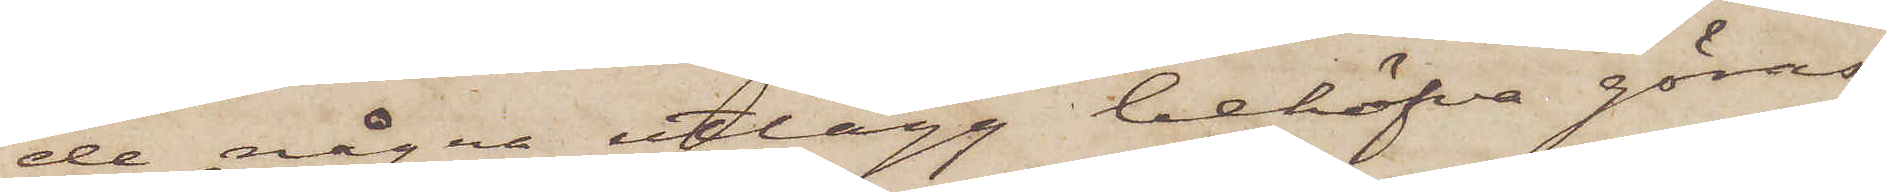de några utlägg behöfva göras.
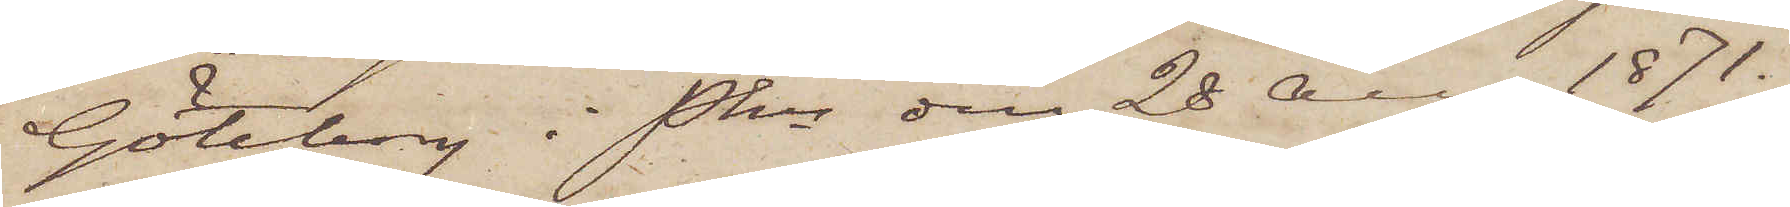Göteborg i Pkn den 28 Aug. 1871.
